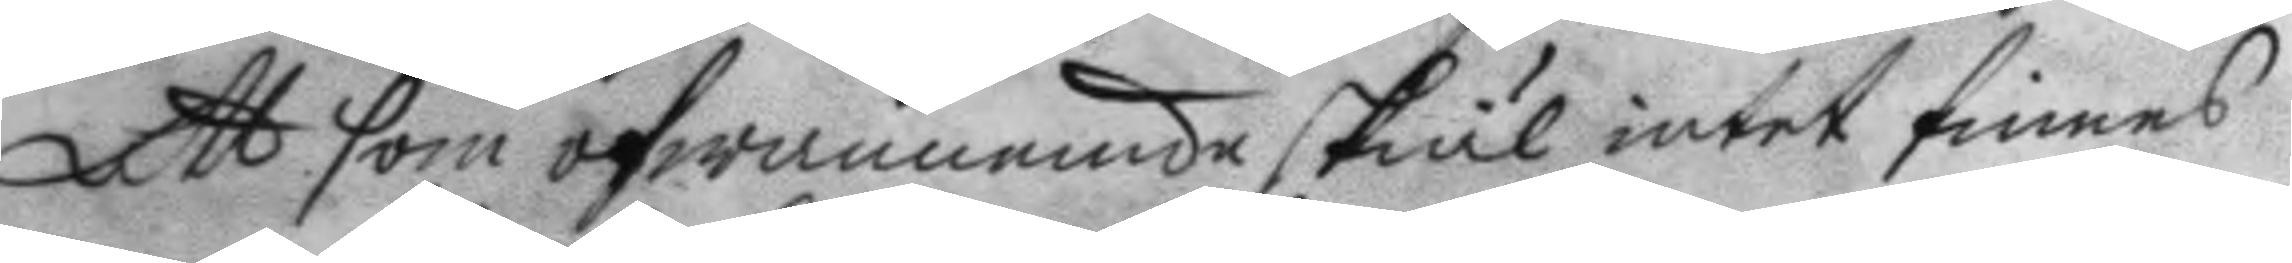Att som ofwannemnde skiäl intet finnes
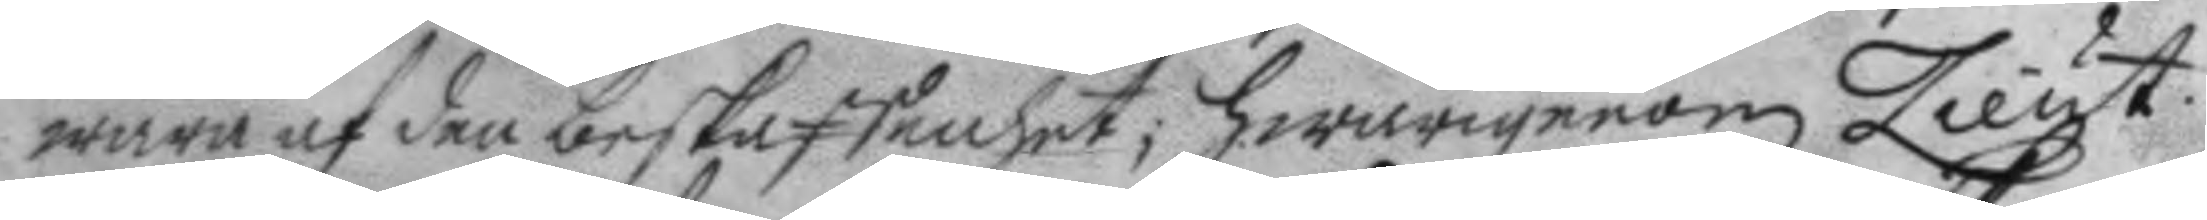wara af den beskaffenhet; hwarigenom Lieut.
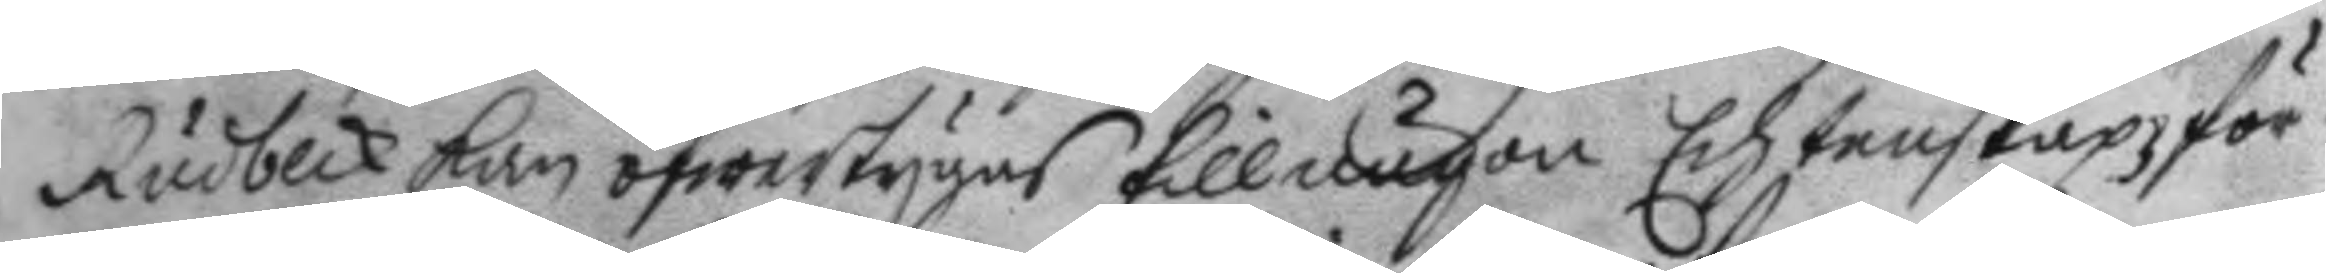Rudbeck kan öfwertygas till någon Echtenskapsför¬
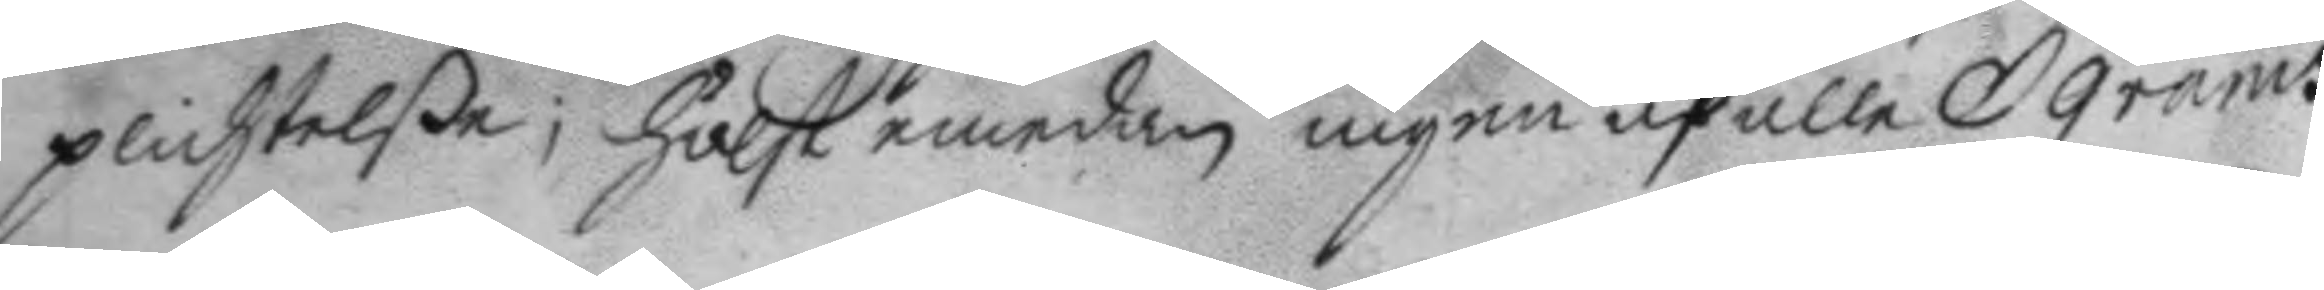plichtelße; hälst emedan ingen af alle Grams
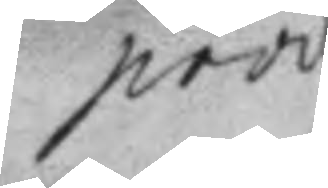prod¬
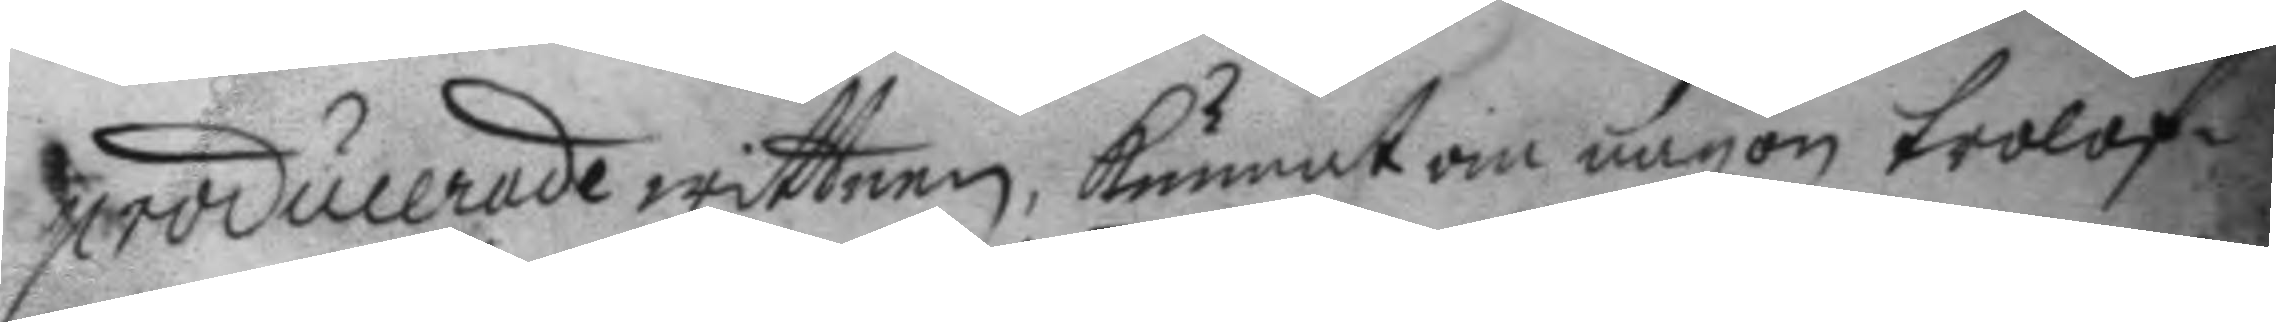producerade wittnen kunnat om någon trolof¬
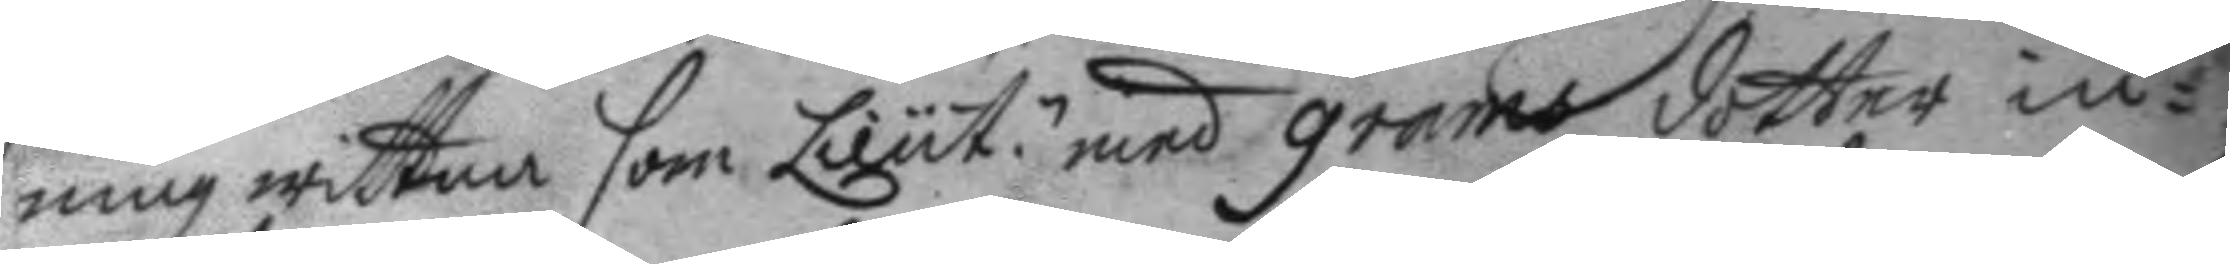ning wittna som Lieut.n med grams dotter in¬
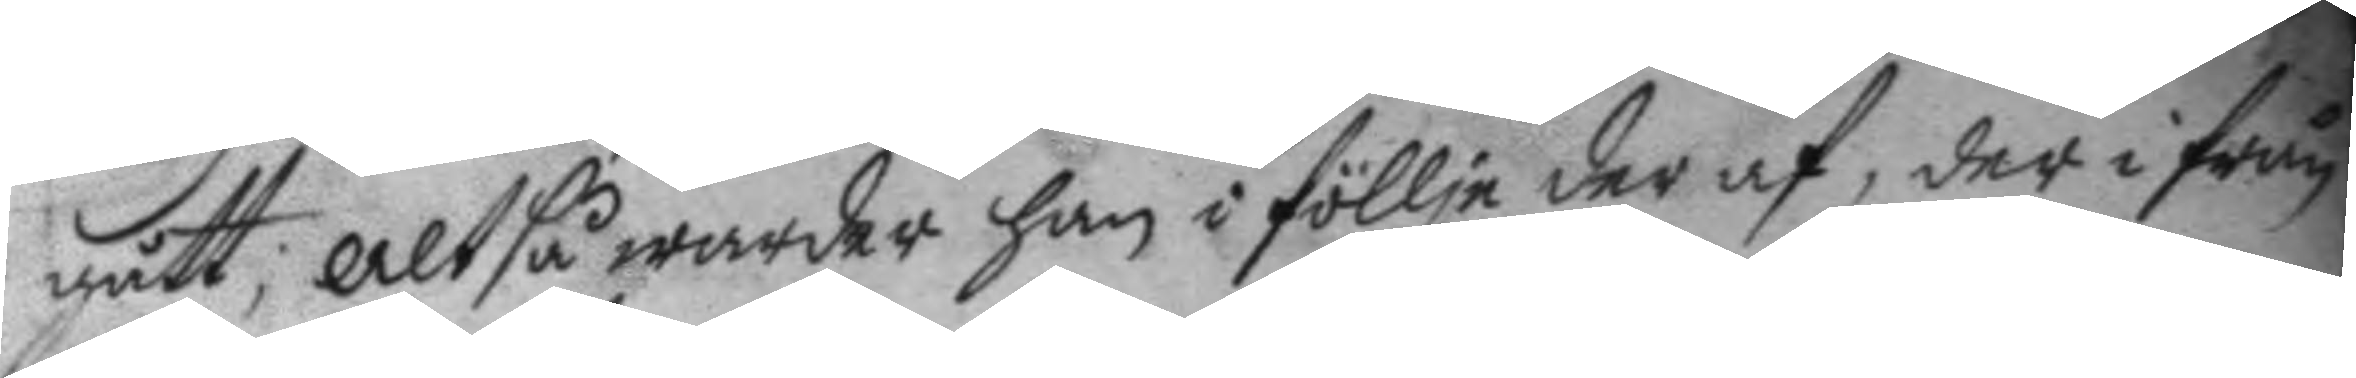gått; altså warder han i föllje der af, der ifrån
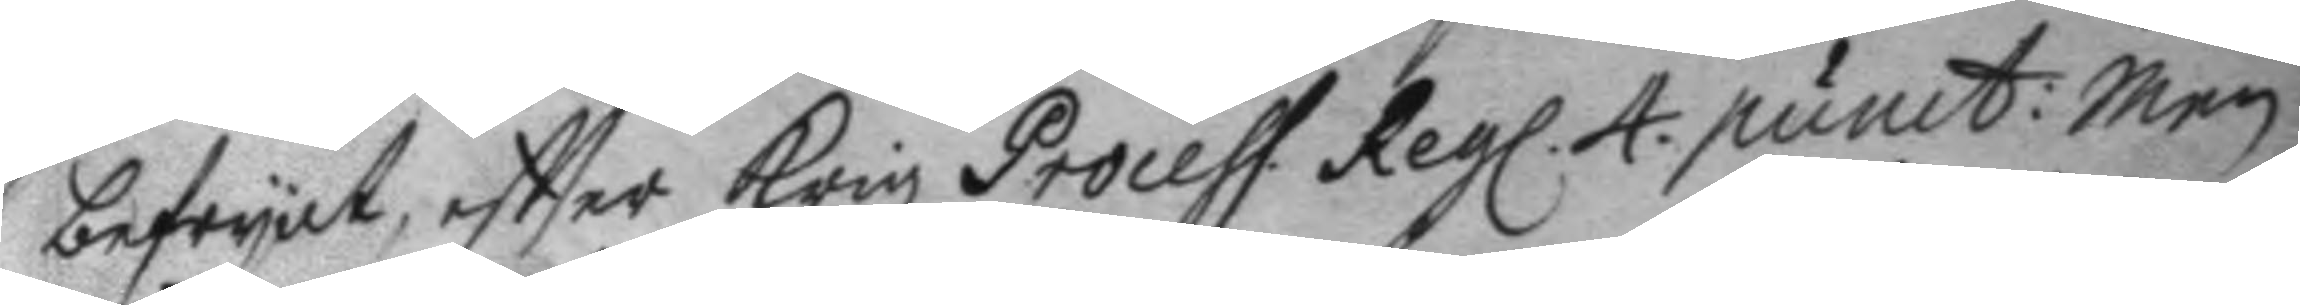befryat, eftter Krigz Process. Regl. 4. punct: Men
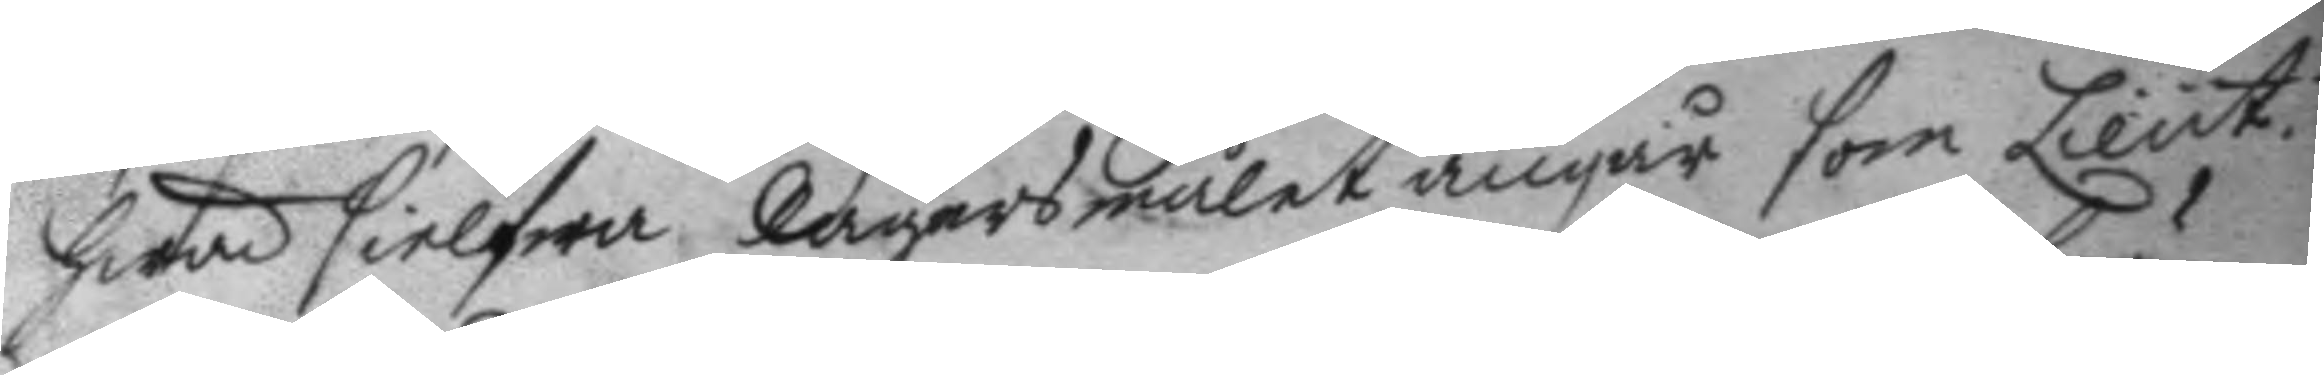hwad sielfwa käradzmålet angår som Lieut.n
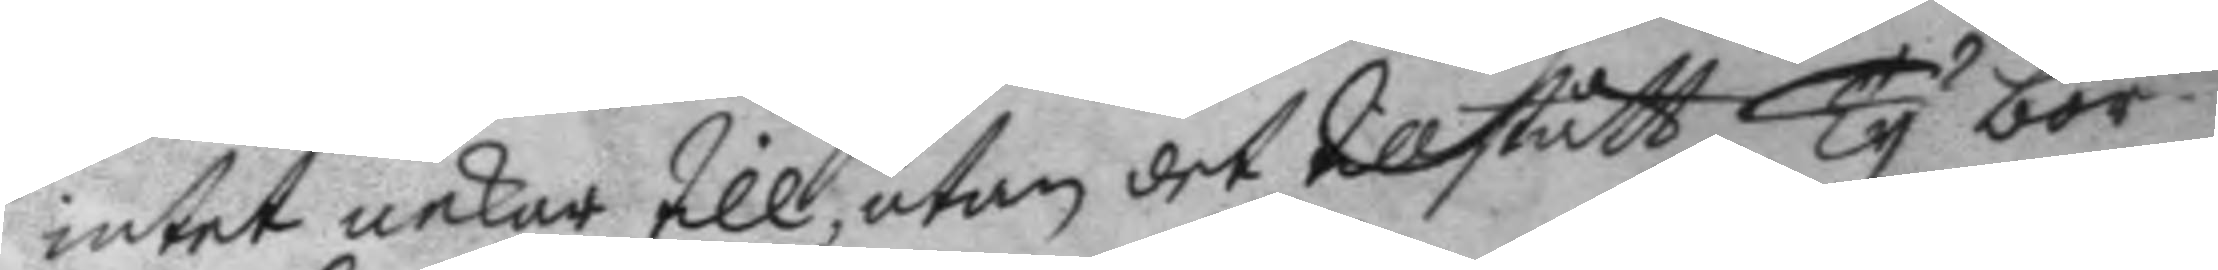intet nekar till, utan det tillstått, ty bör
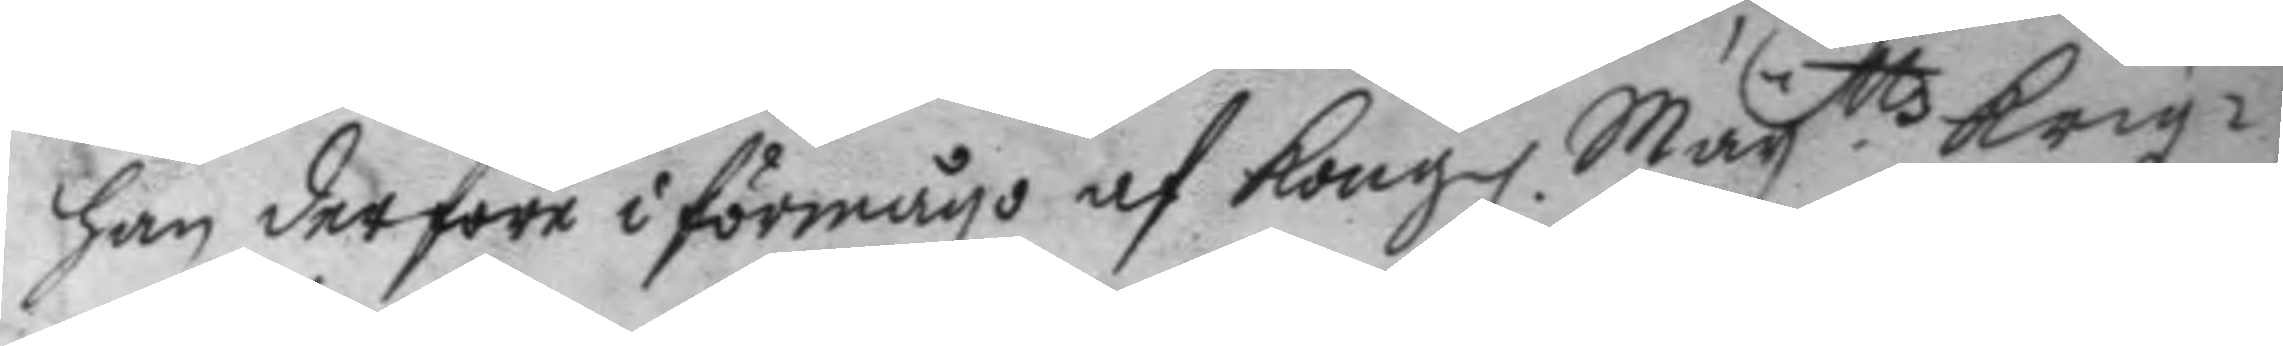han derföre i förmågo af Kong. May.ttz Krigz¬
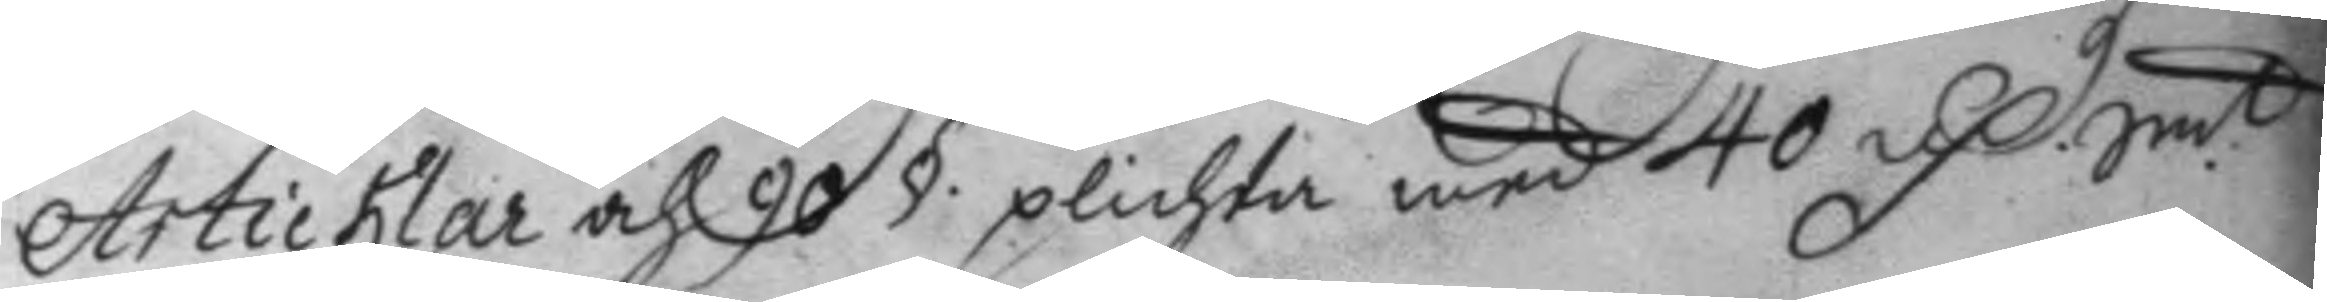Articklar och 90 § plichta med 40 D. Smt
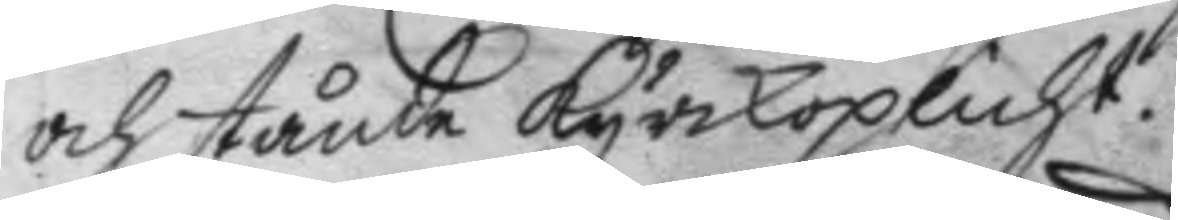och stånda kyrkoplicht.
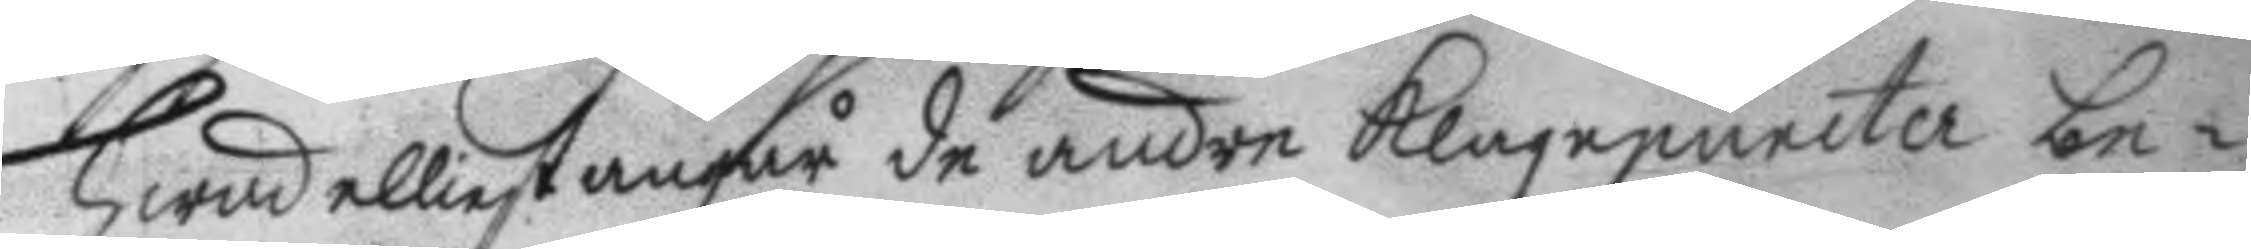Hwad elliest angår de andre klagopuncter be¬
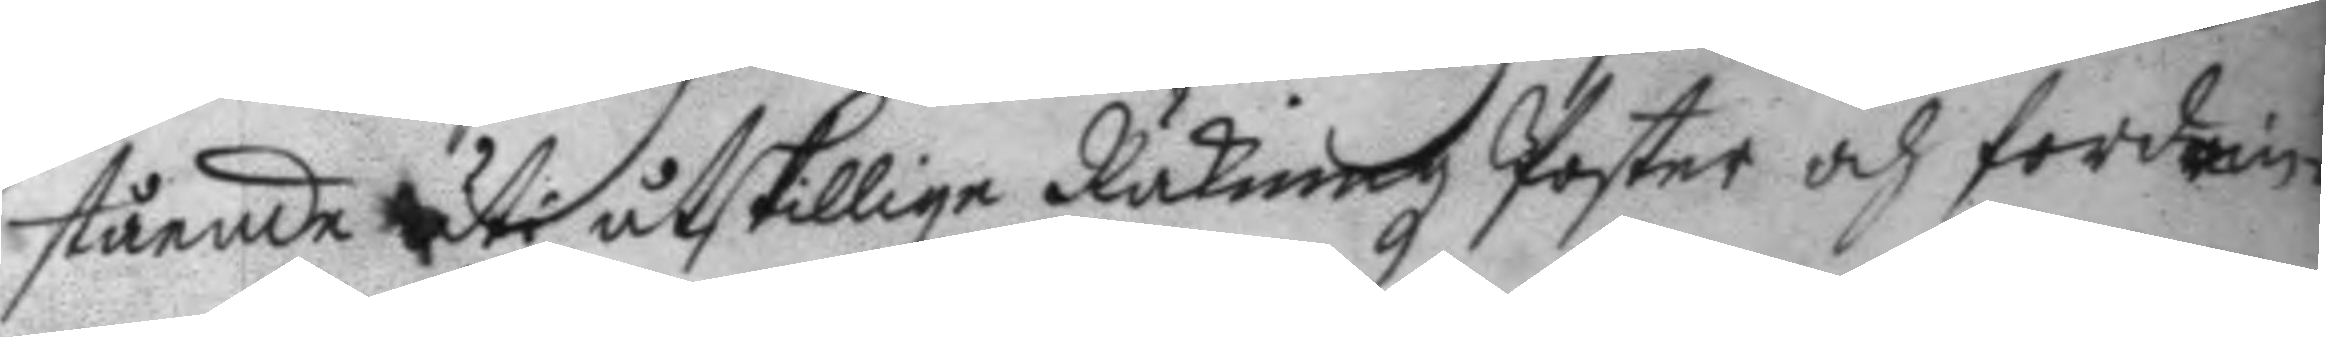stående uti åtskillige Räkningz Poster och fordrin¬
